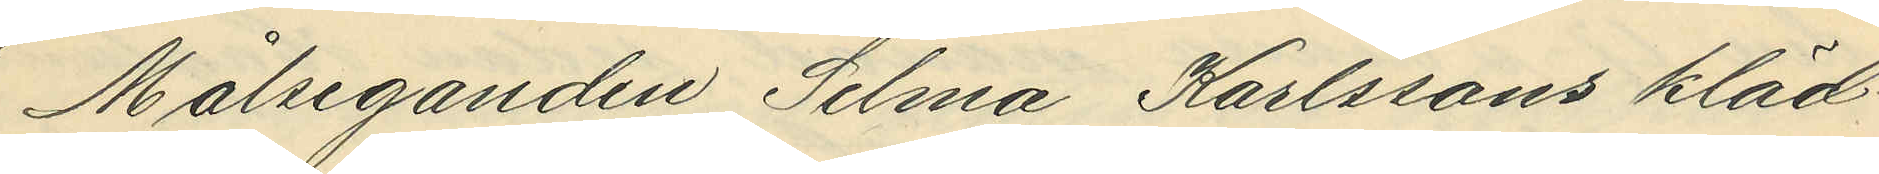Målseganden Selma Karlssons kläd¬
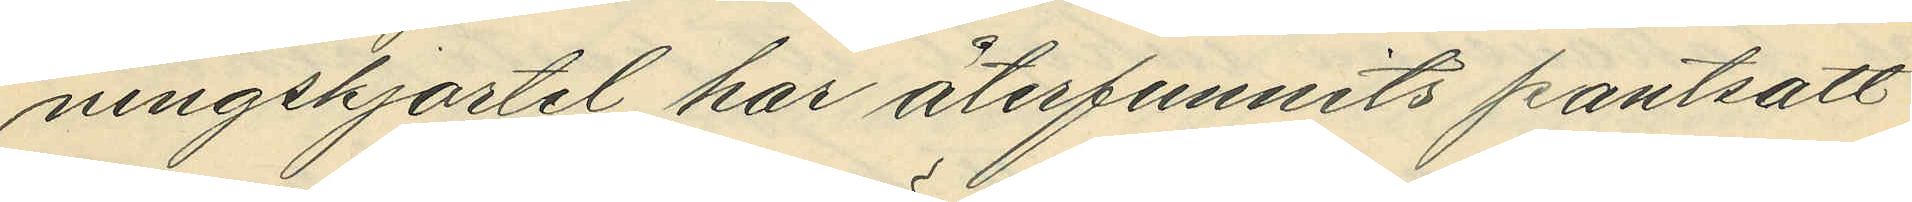ningkjortel har återfunnits pantsatt
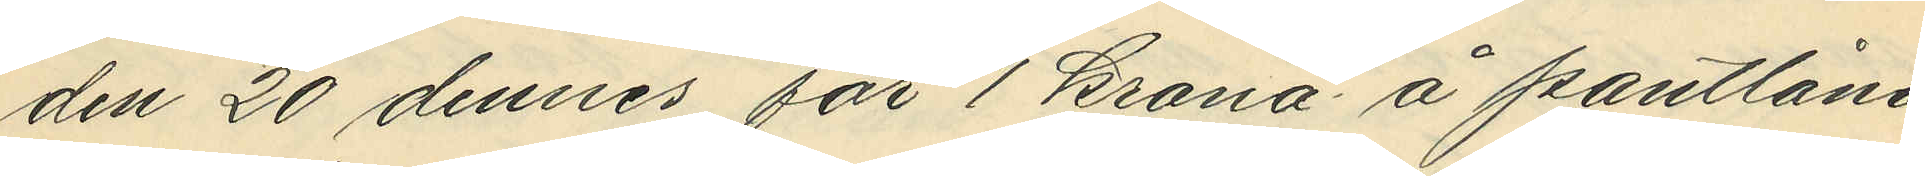den 20 dennes för 1 krona å pantlåna¬
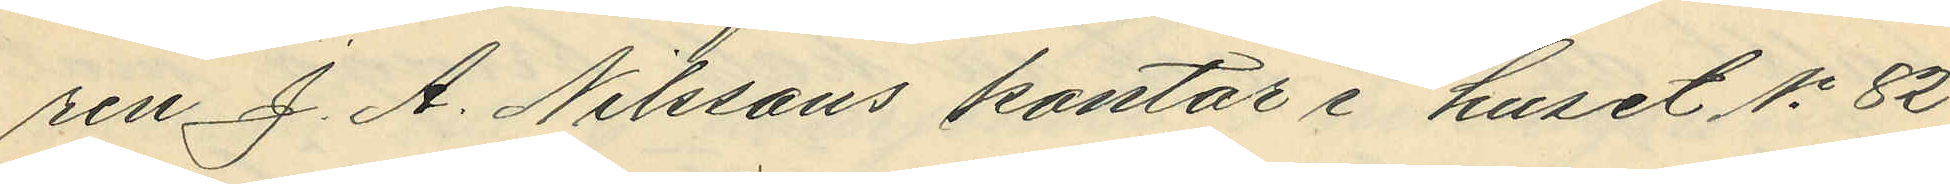ren J. A. Nilssons kontor i huset No 82
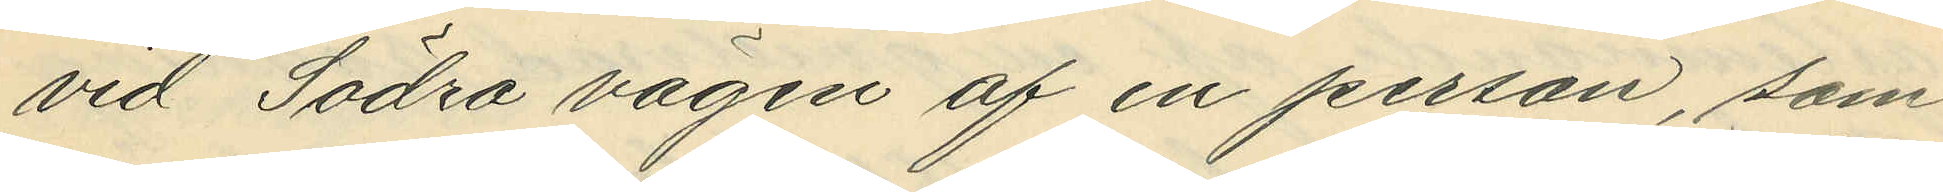vid Södra vägen af en person, som
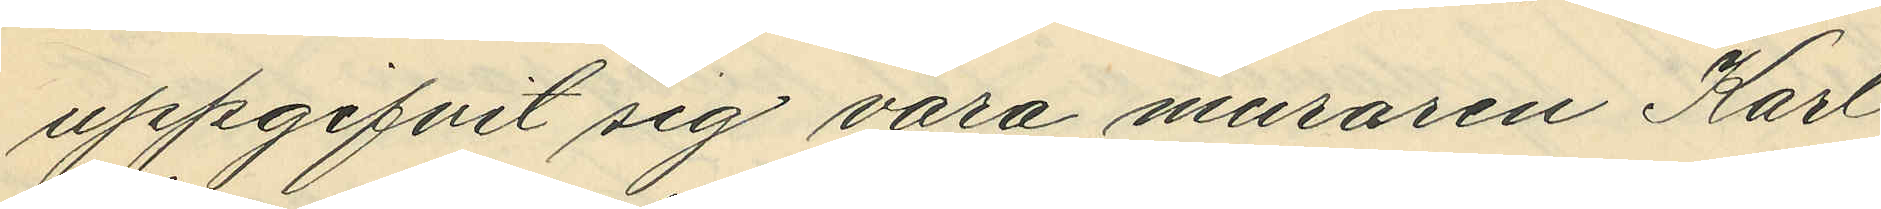uppgifvit sig vara muraren Karl
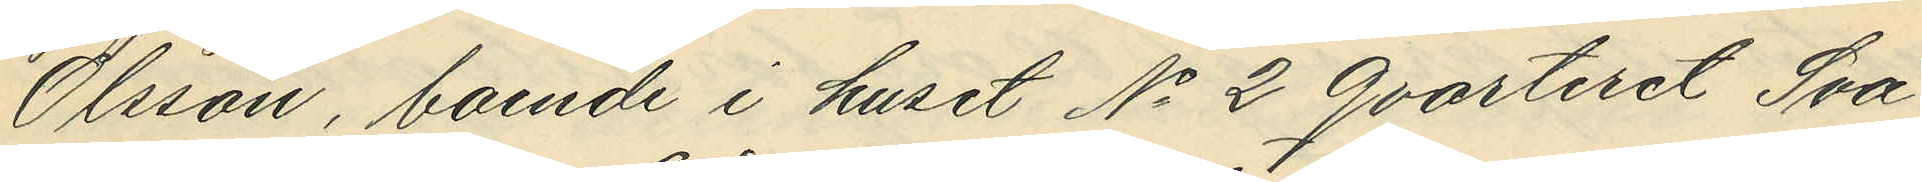Olsson, boende i huset No 2 Qvarteret Sva¬
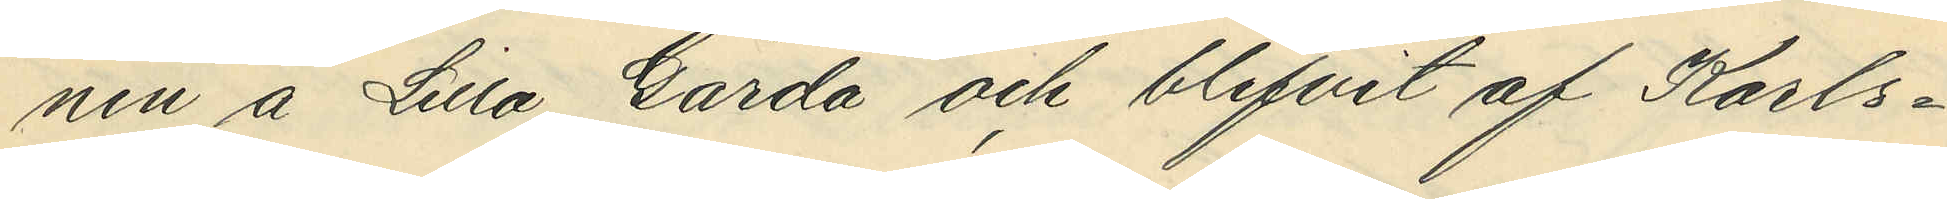nen å Lilla Gårda och blifvit af Karls¬
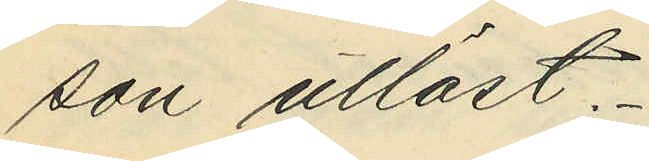son utlöst.
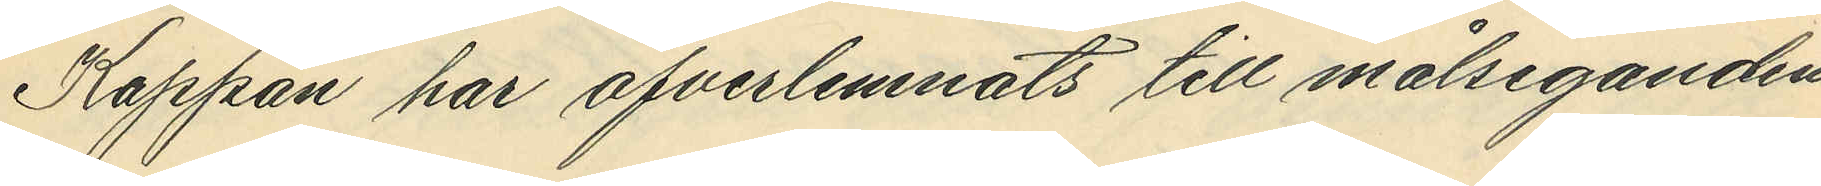Kappan har öfverlemnats till målseganden
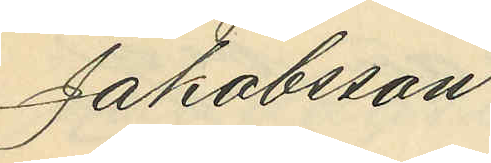Jakobsson.
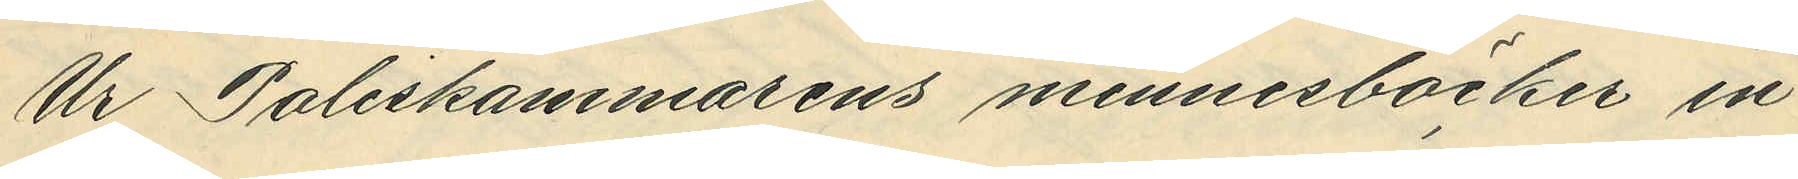Ur Poliskammarens minnesböcker in¬
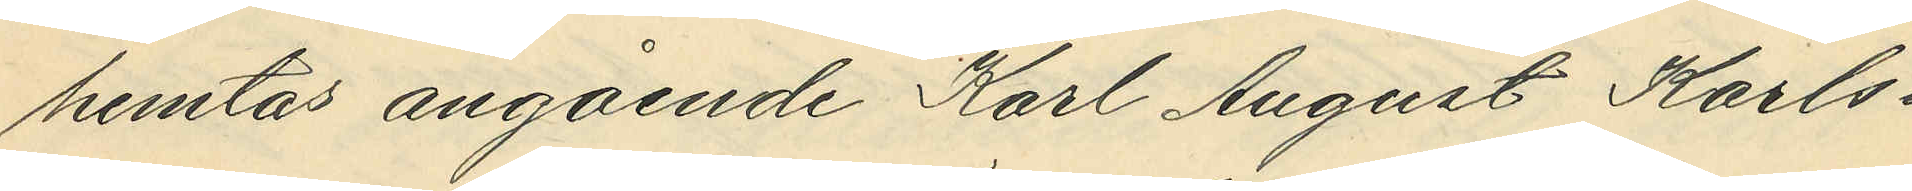hemtas angående Karl August Karls¬
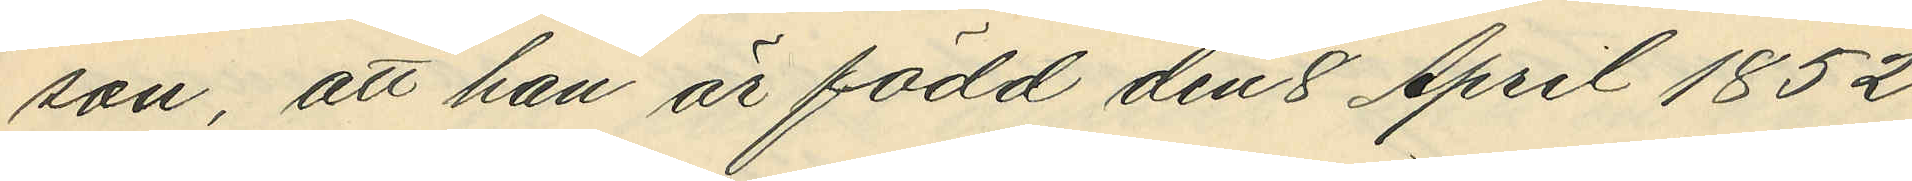son, att han är född den 8 April 1852
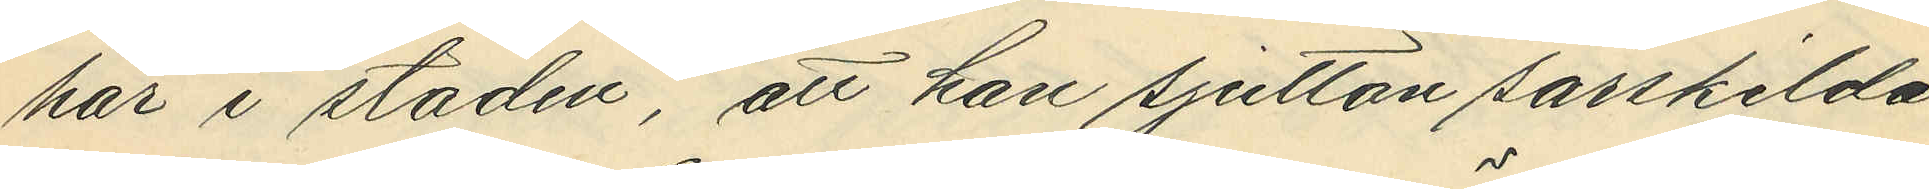här i staden, att han sjutton särskilda
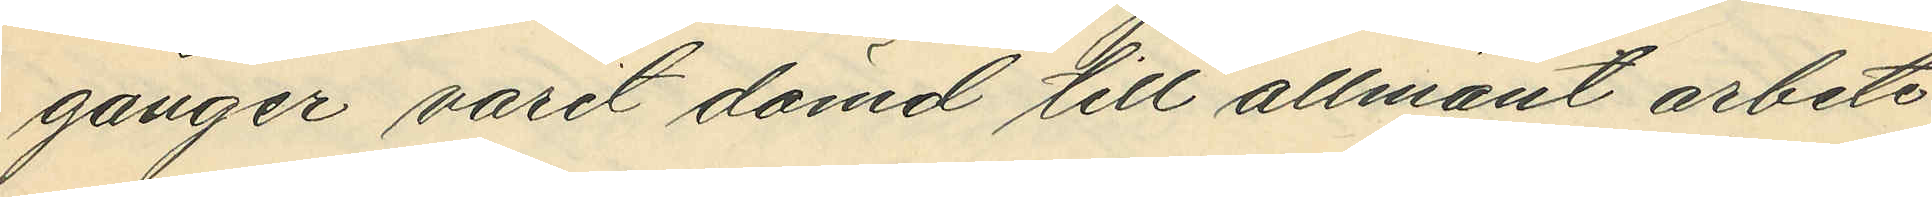gånger varit dömd till allmänt arbete
